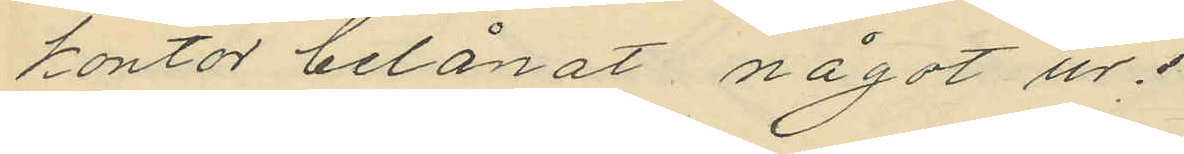kontor belånat något ur.
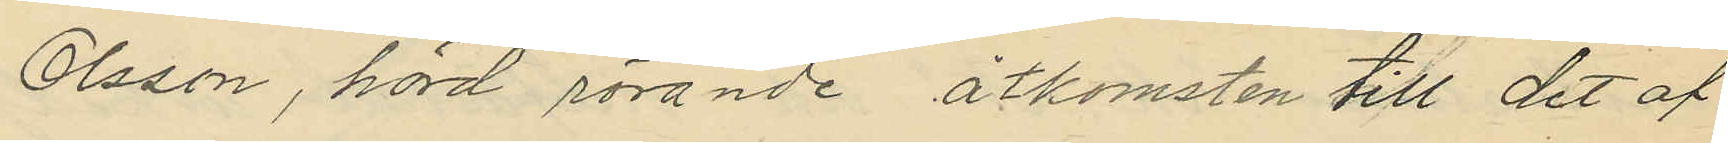Olsson, hörd rörande åtkomsten till det af
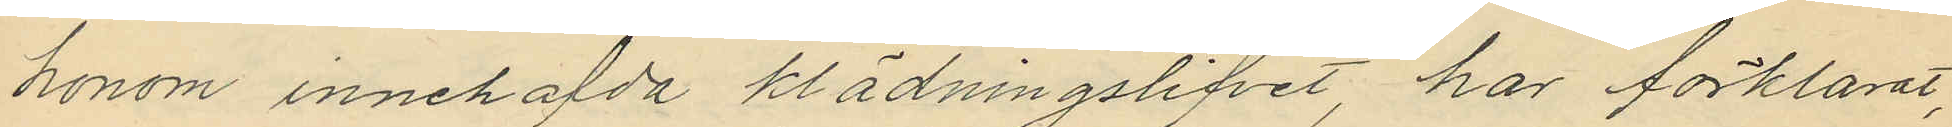honom innehafda klädningslifvet, har förklarat,
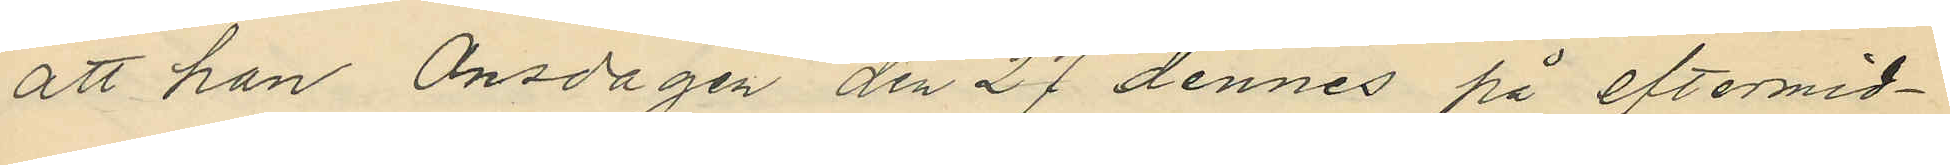att han Onsdagen den 27 dennes på eftermid¬
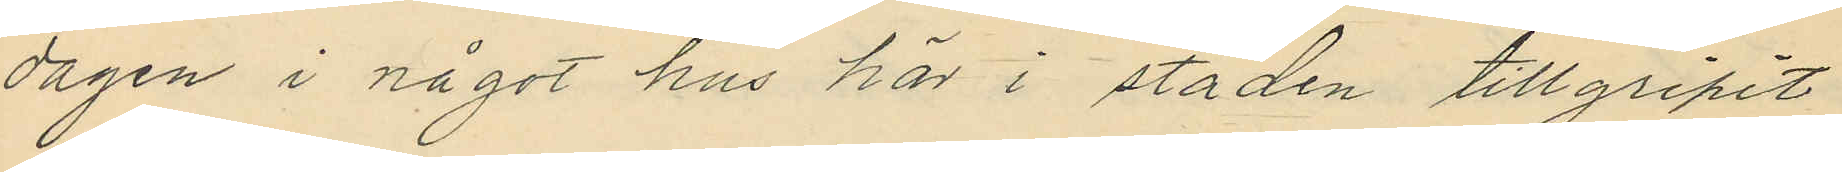dagen i något hus här i staden tillgripit
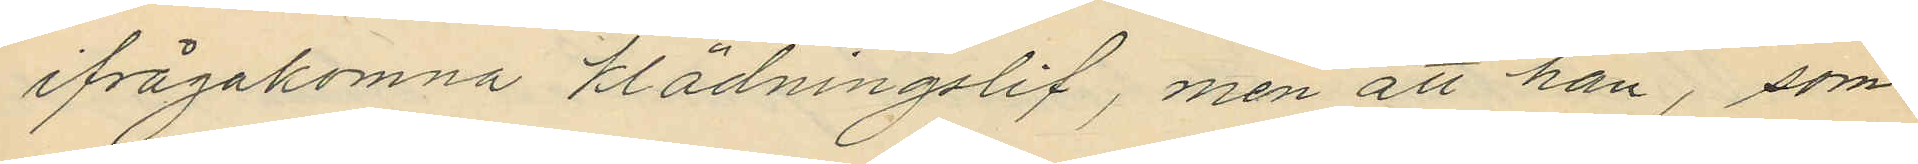ifrågakomna klädningslif, men att han, som
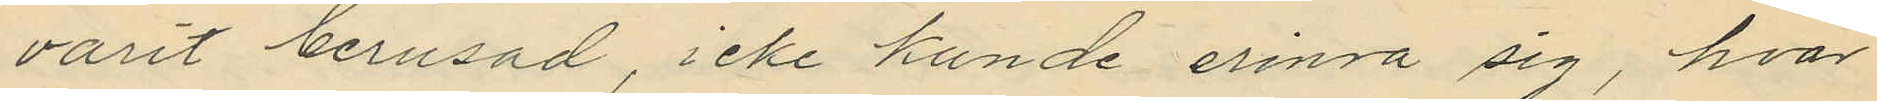varit berusad, icke kunde erinra sig, hvar
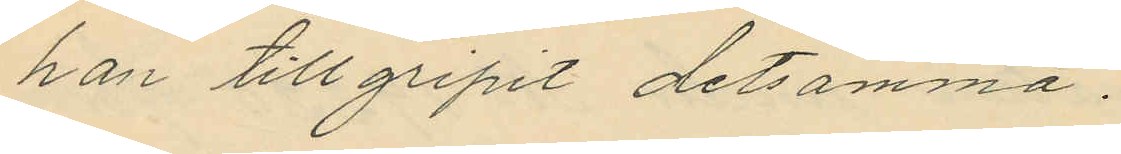han tillgripit detsamma.
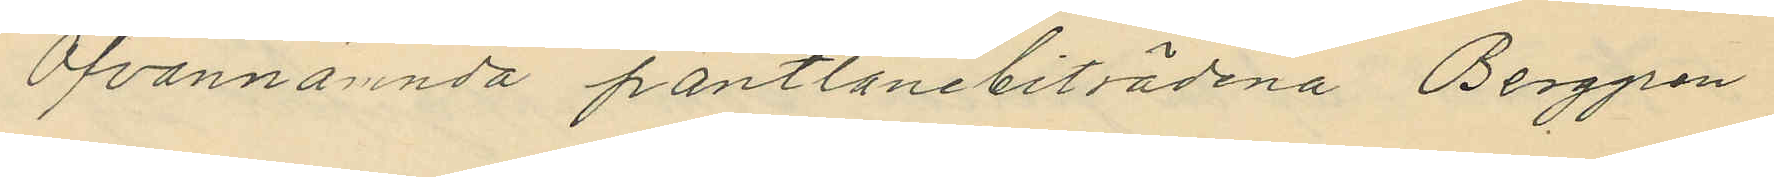Ofvannämnda pantlånebiträdena, Berggren
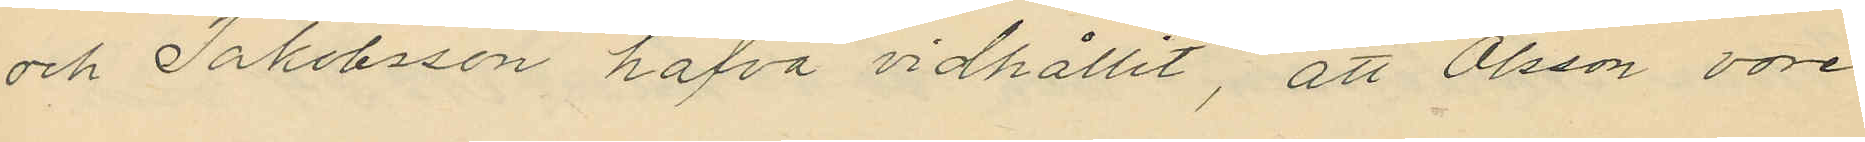och Jakobsson hafva vidhållit, att Olsson vore
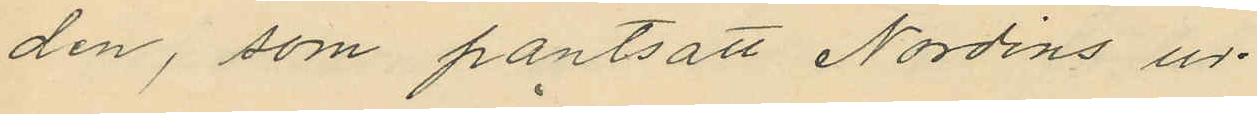den, som pantsatt Nordins ur.
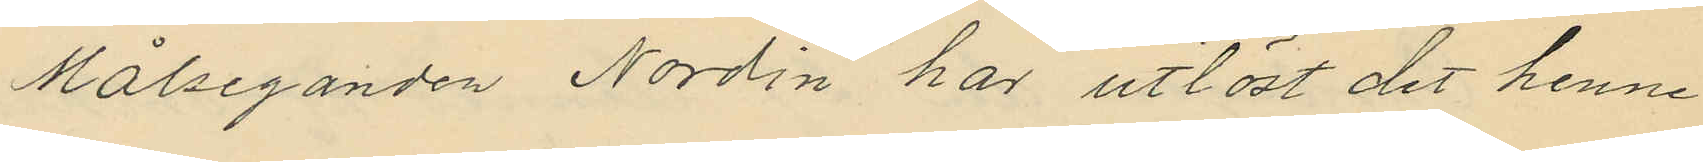Målseganden Nordin har utlöst det henne
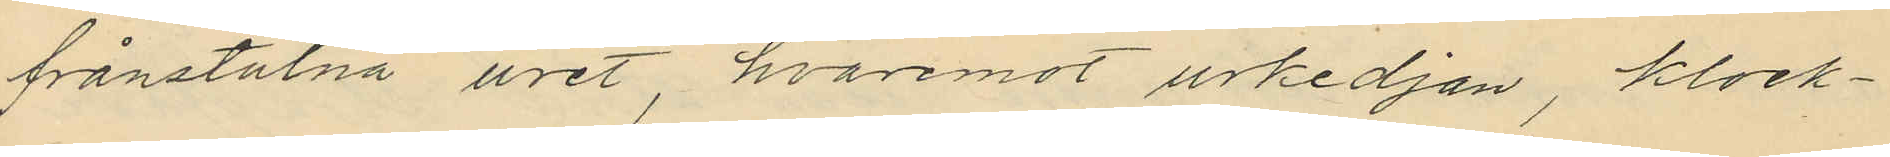frånstulna uret, hvaremot urkedjan, klock¬
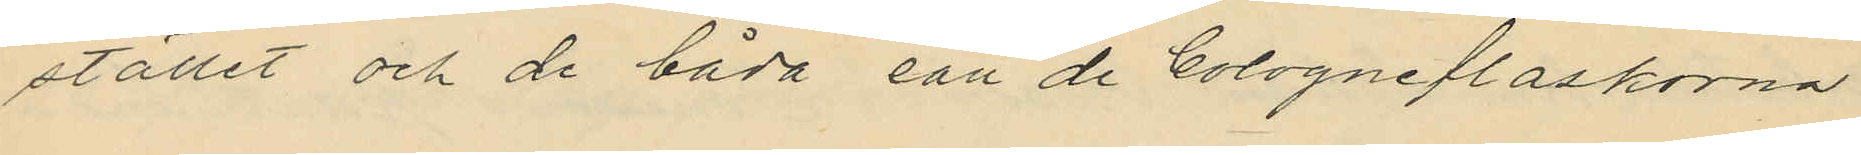stället och de båda eau de Cologneflaskorna
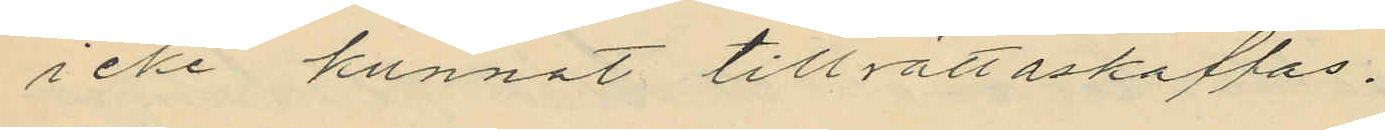icke kunnat tillrättaskaffas.
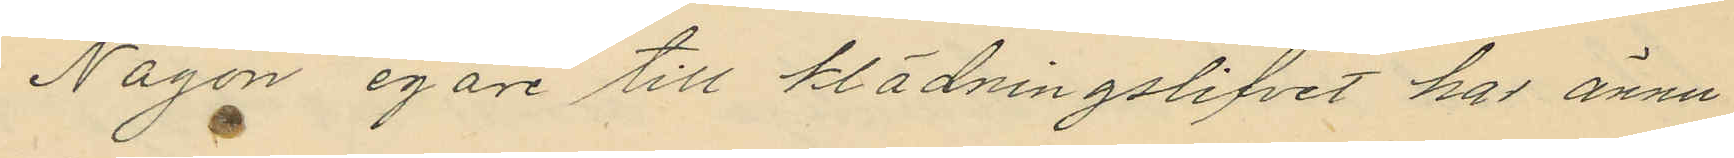Någon egare till klädningslifvet har ännu
